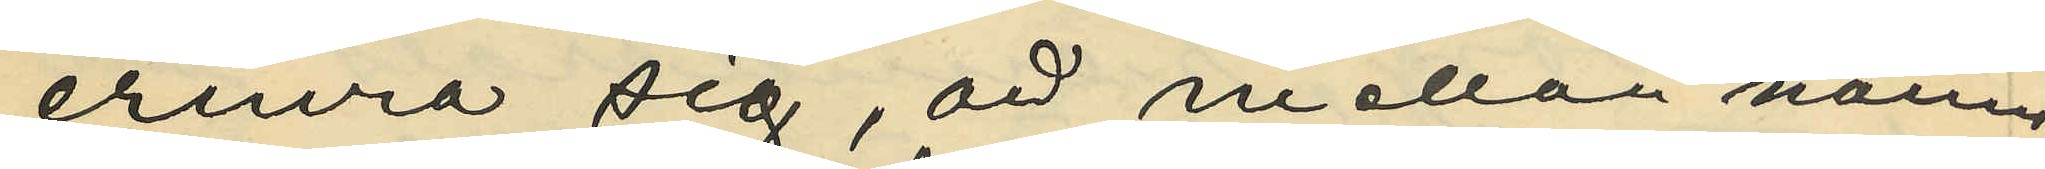erinra sig, att mellan nämn¬
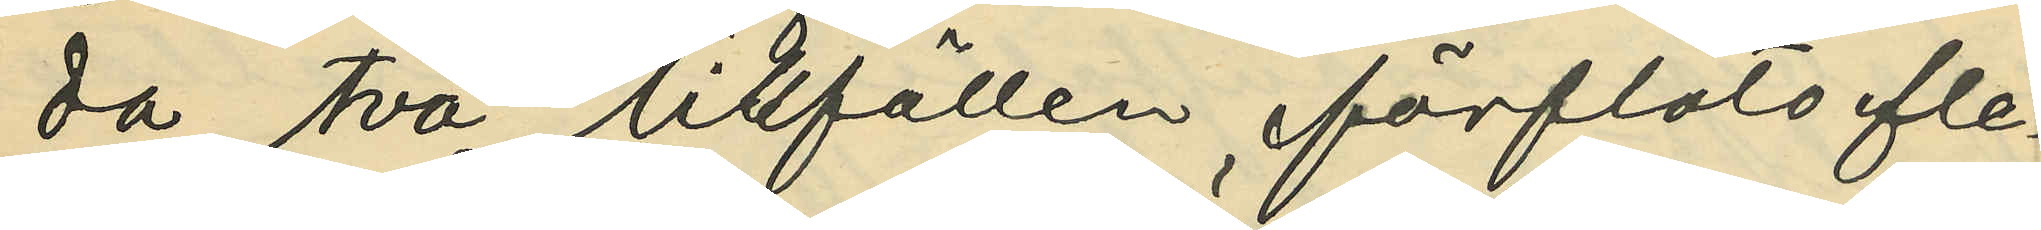da två tillfällen förlöto fle¬
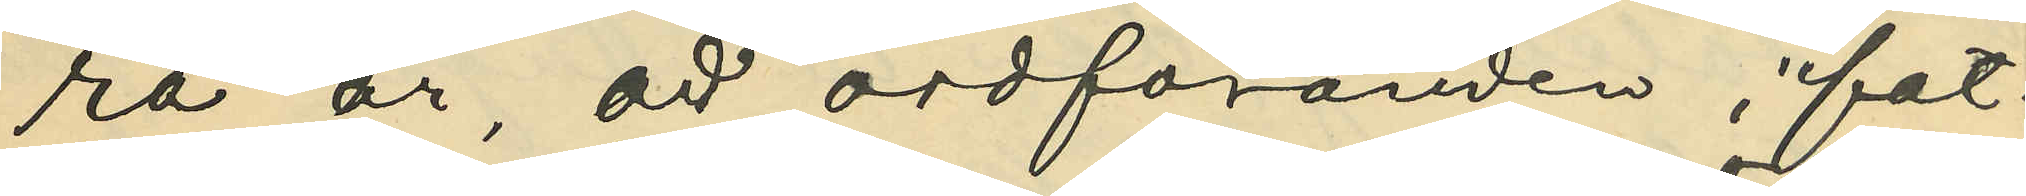ra år, att ordföranden i fat¬
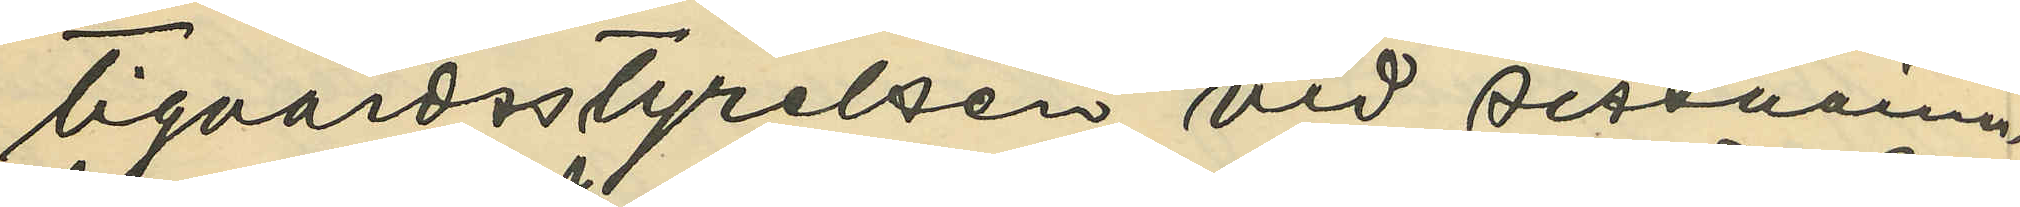tigvårdsstyrelsen vid sistnämn¬
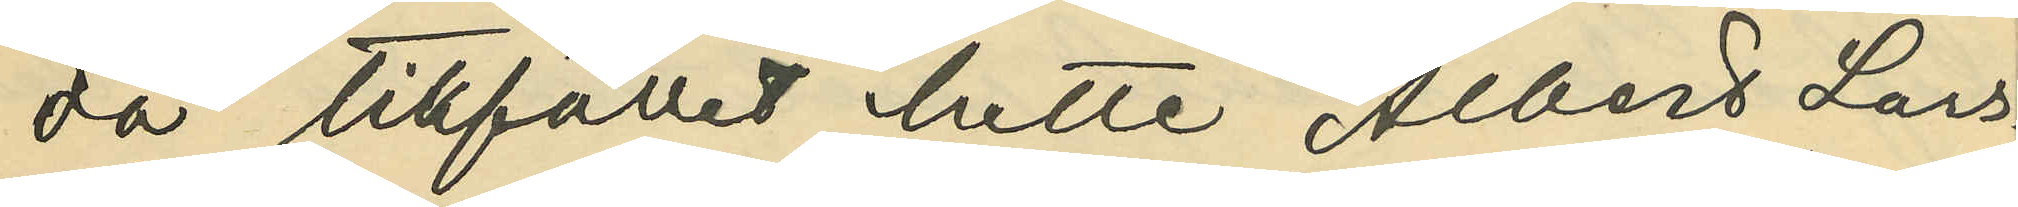da tillfälle hette Albert Lars¬
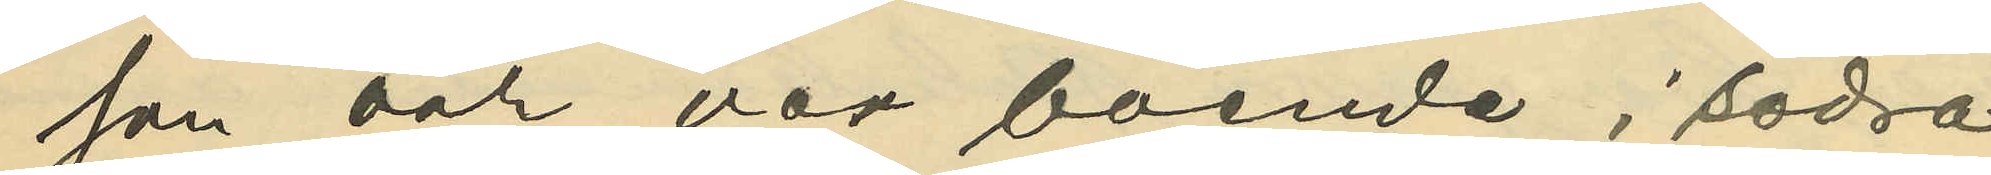son och var boende i södra
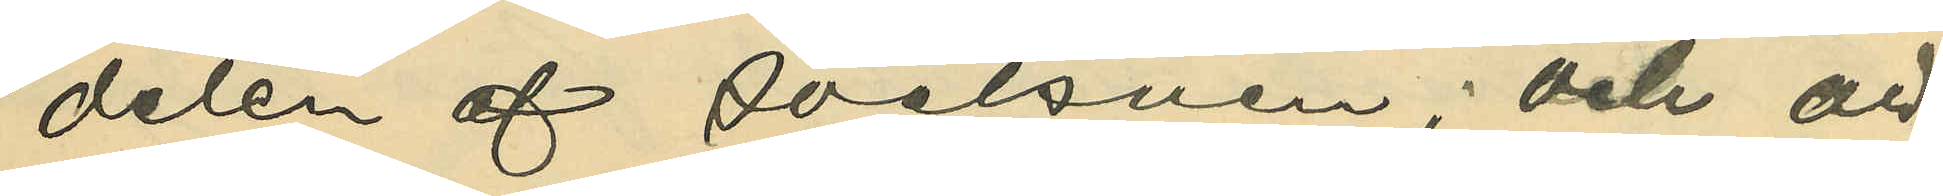delen af socknen; och att
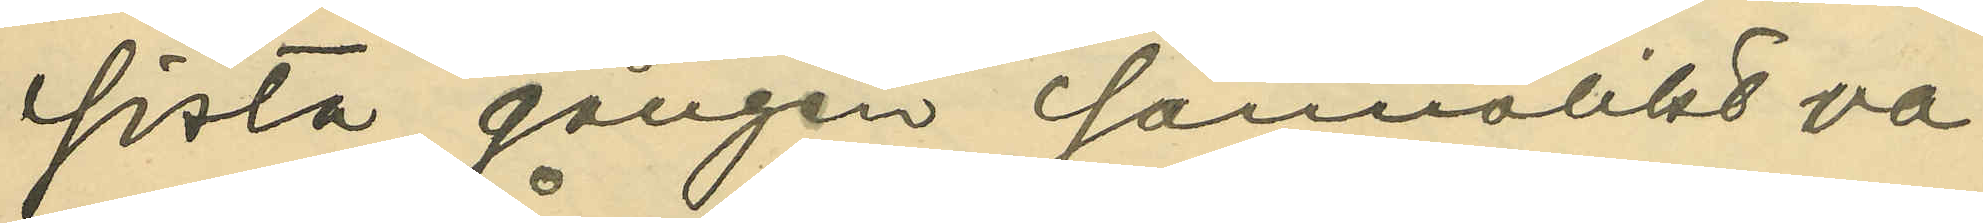sista gången sannolikt va¬
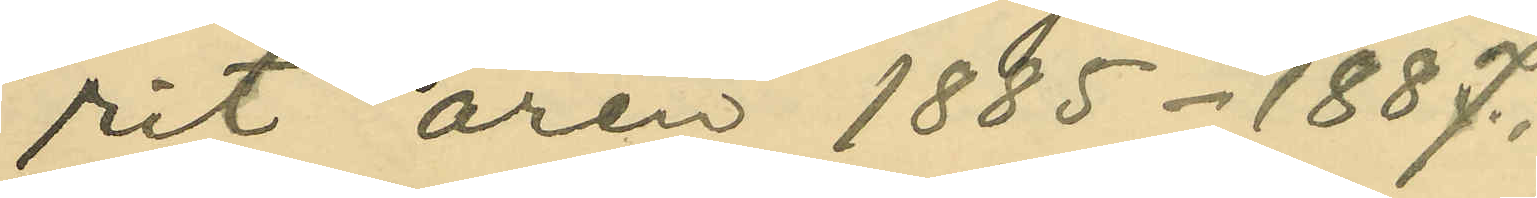rit åren 1885-1887;
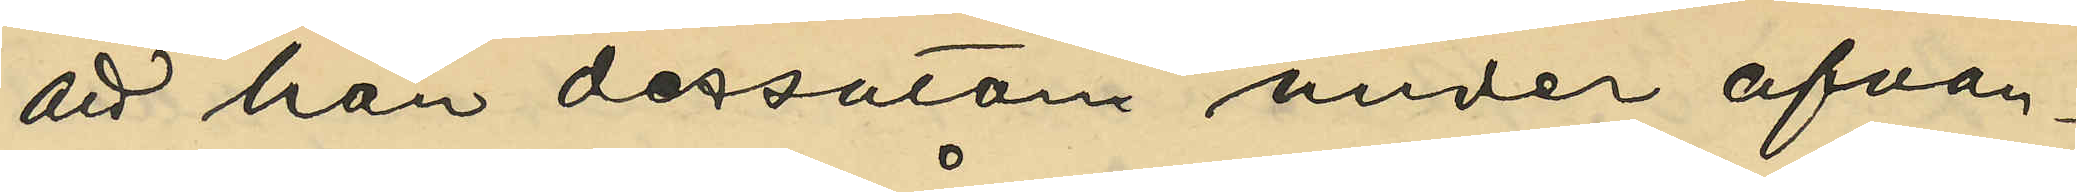att han dessutom under ofvan¬
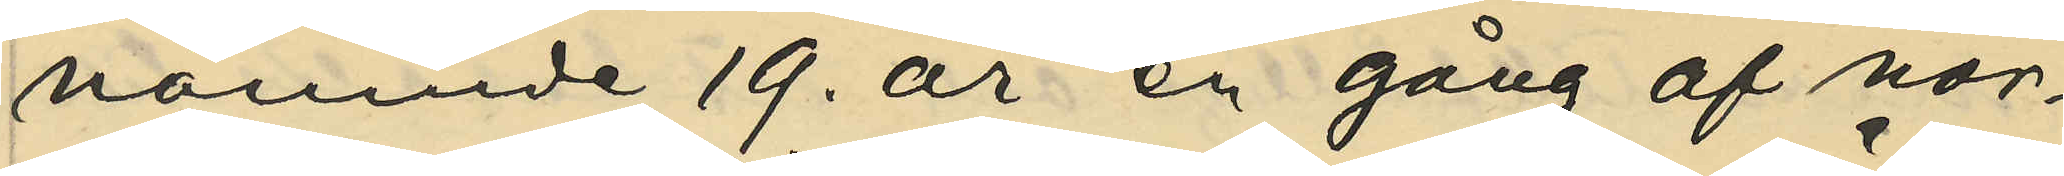nämnde 19. år en gång af norska
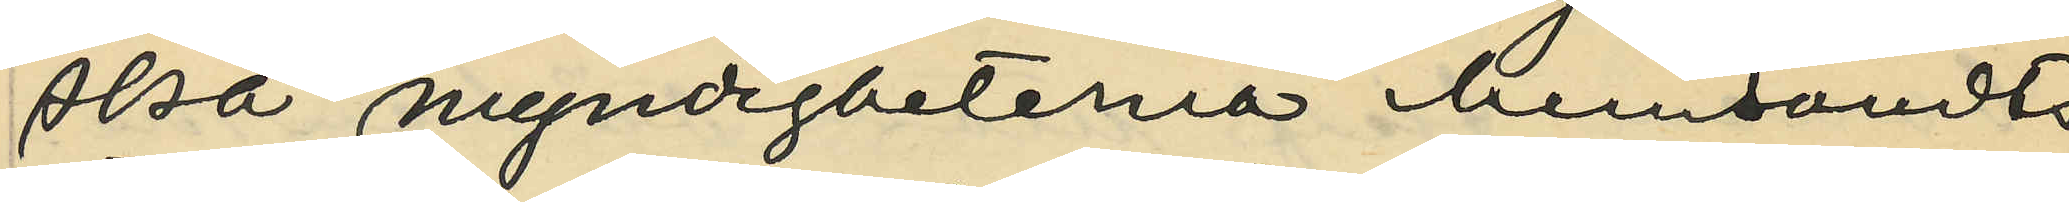myndigheterna hemsändts
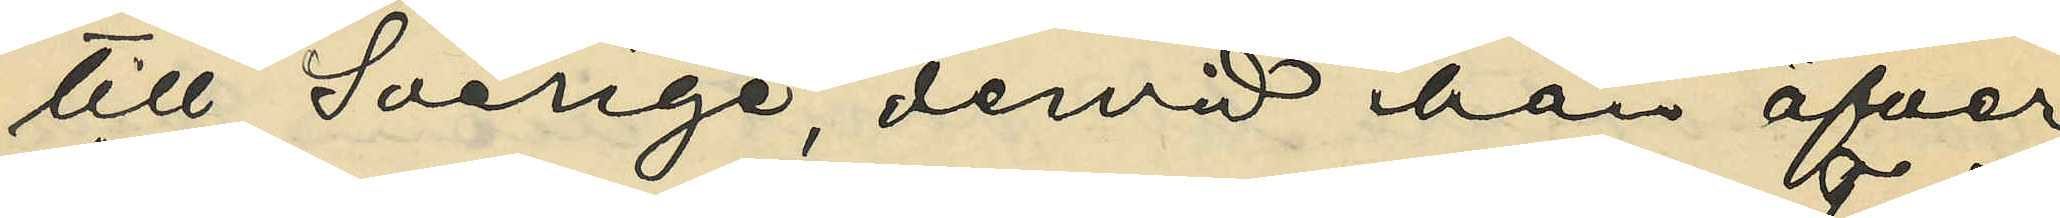till Sverige, dervid han öfver
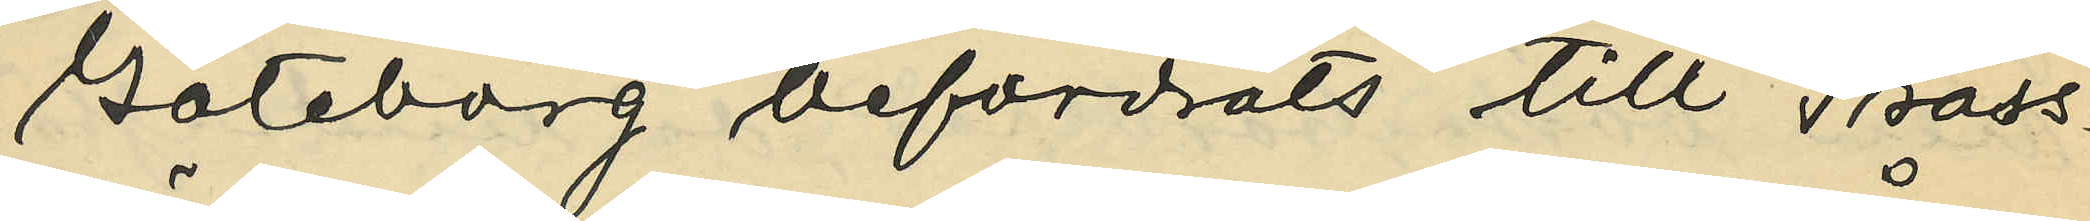Göteborg befordrats till Träss¬
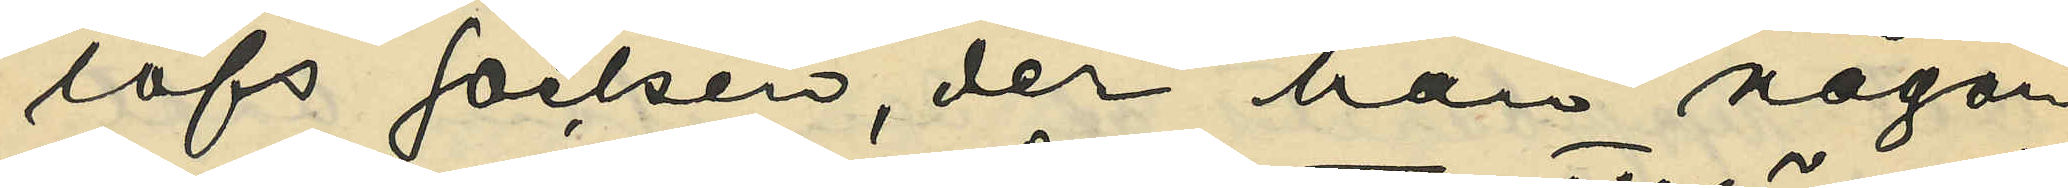löfs socken, der han någon
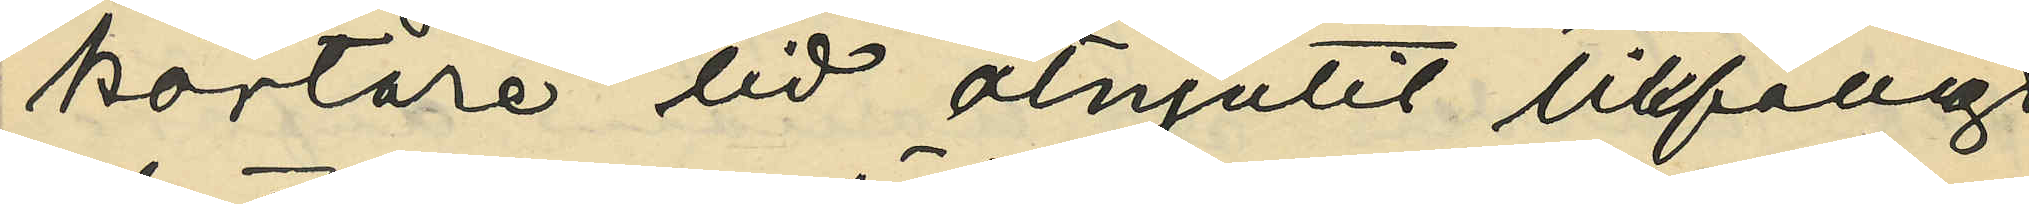kortare tid åtnjutit tillfälligt
